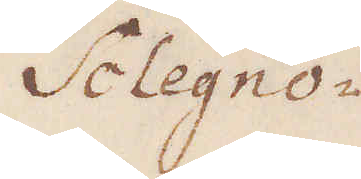Sclegno-
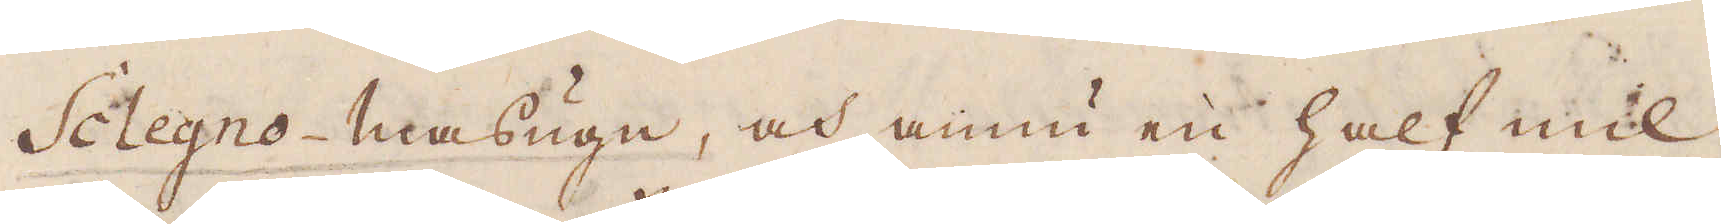Sclegno-masugn, och ännu en half mil
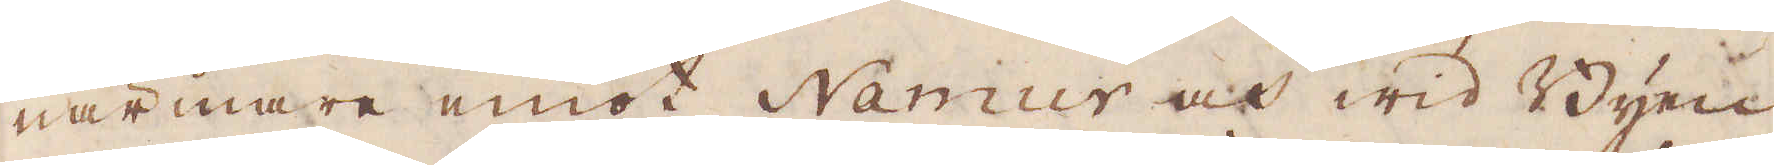närmare emot Namur och wid Byen
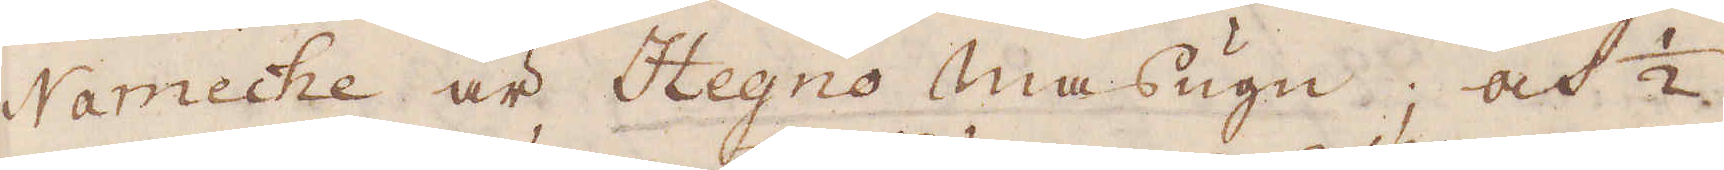Nameche är Hegno masugtn, och 1/2
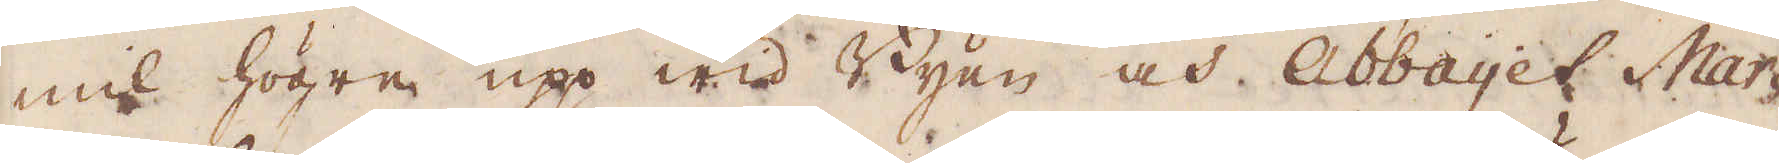mil högre upp wid Byen och Abbayet Mar-
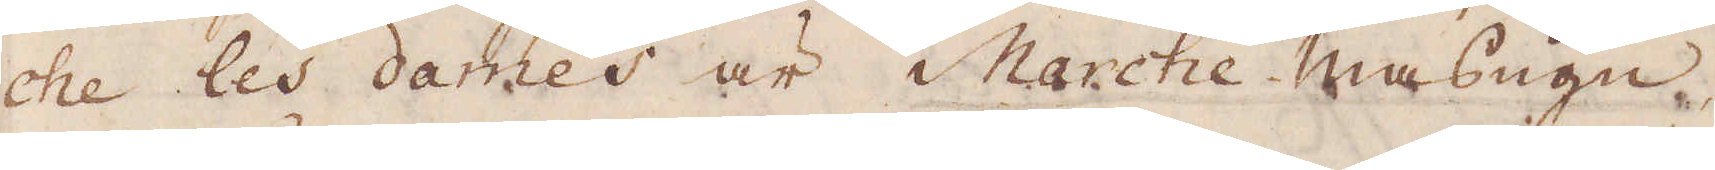che les dames är Marche masugn
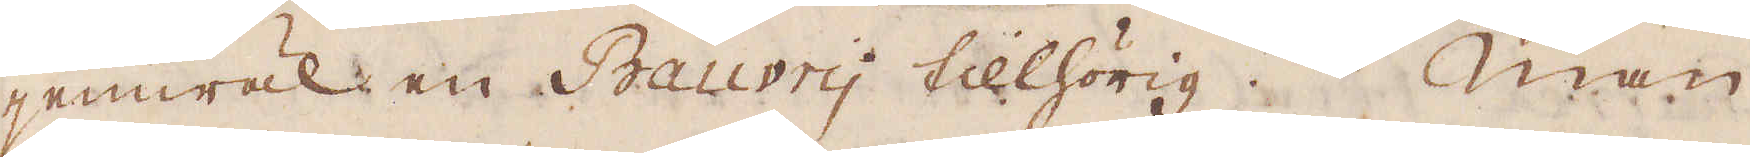jemwäl en Bauvry tillhörig. Man
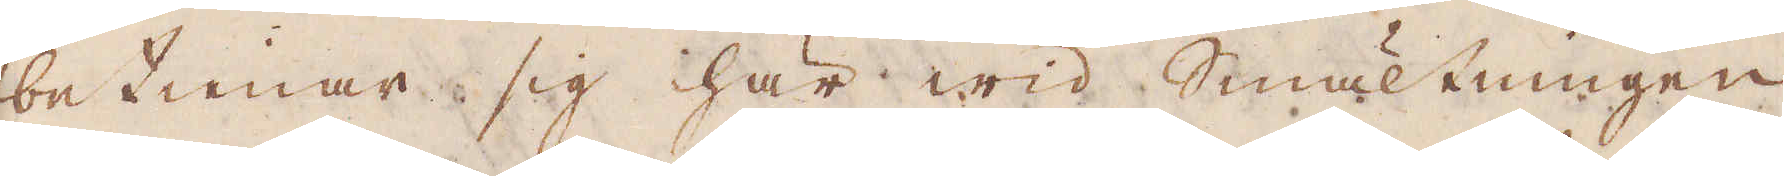betienar sig här wid Smältningen
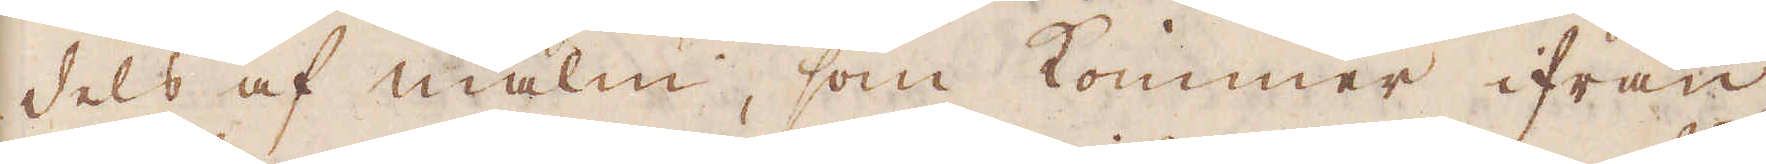dels af malm, som kommer ifrån
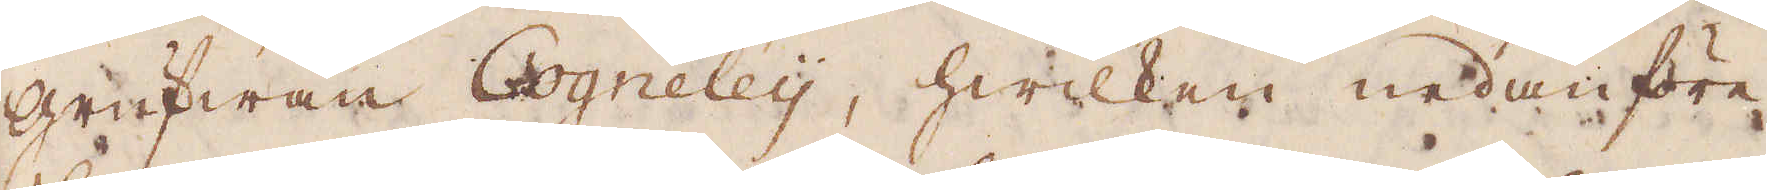grufwan Cogneley, hwilken nedanföre
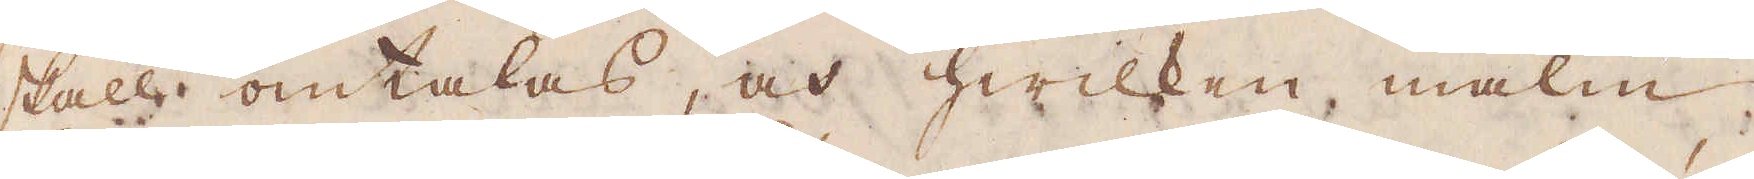skall omtalas, och hwilken malm
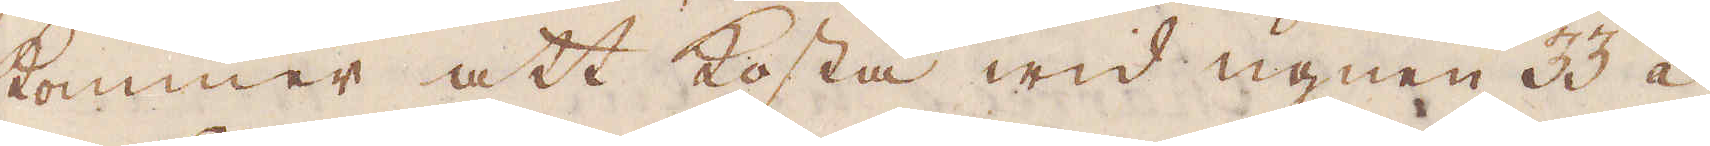kommer att kosta wid ugnen 33 à
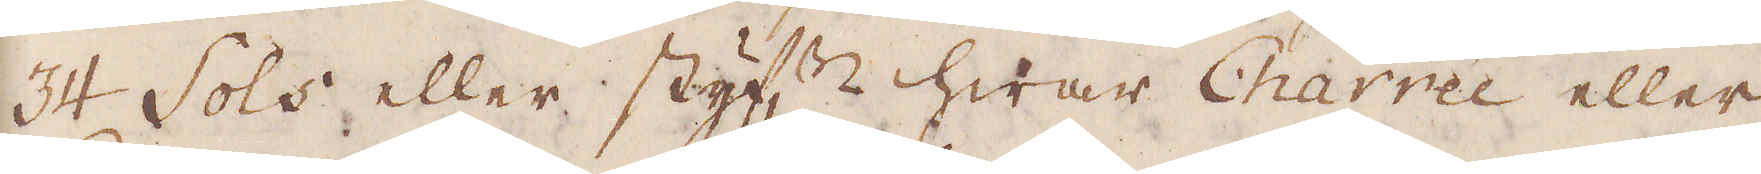34 Sols eller Styf:n hwar Charrée eller
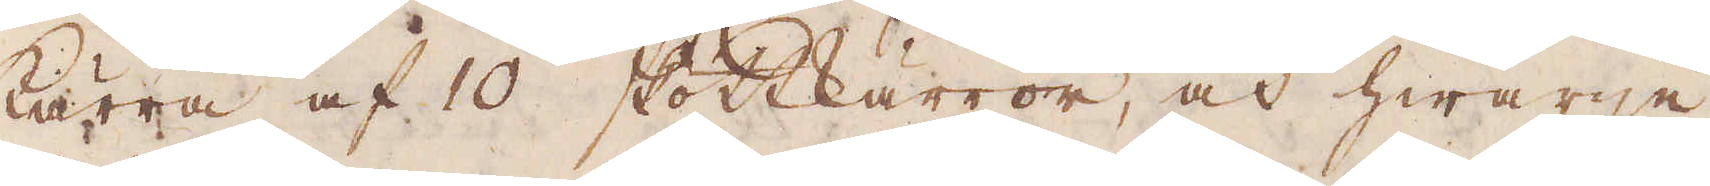kärra af 10 skottkärror, och hwarje
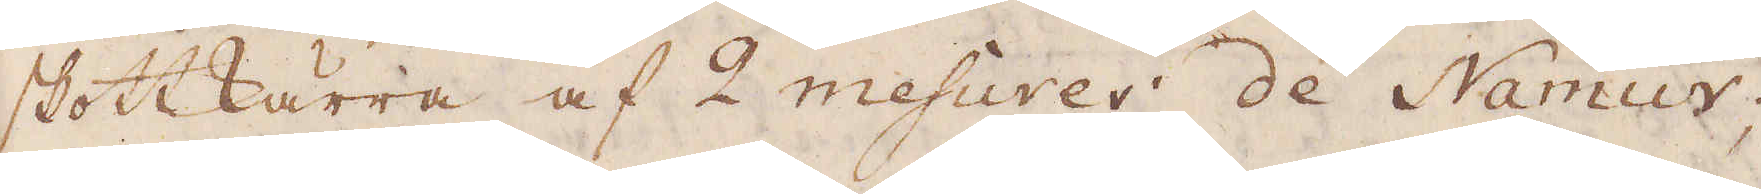skottkärra af 2 mesures de Namur;
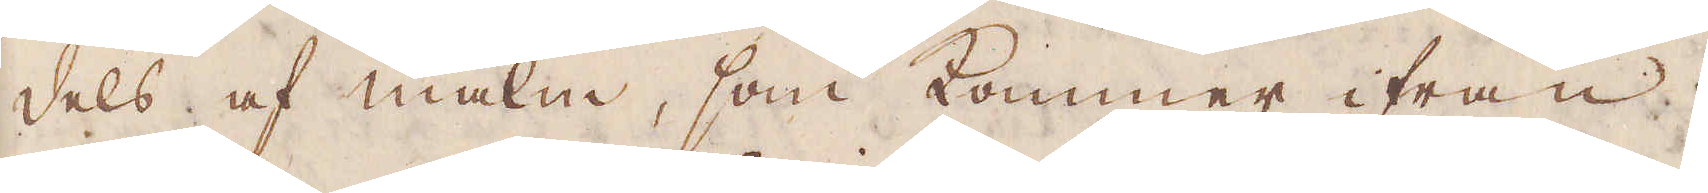dels af malm, som kommer ifrån
